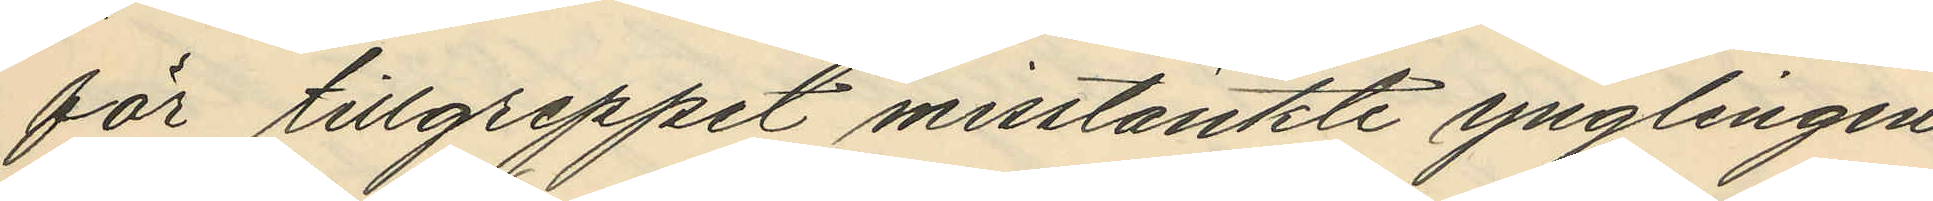för tillgreppet misstänkte ynglingen
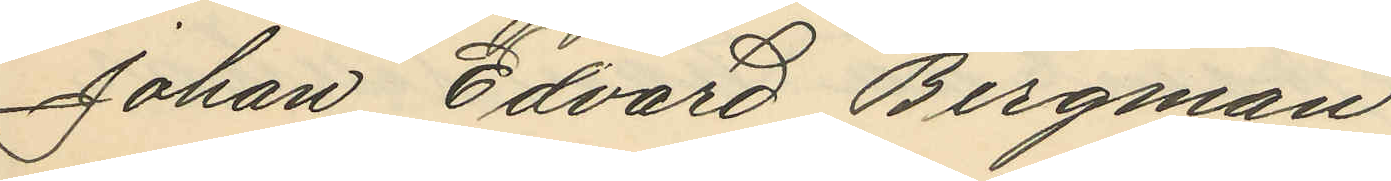Johan Edvard Bergman.
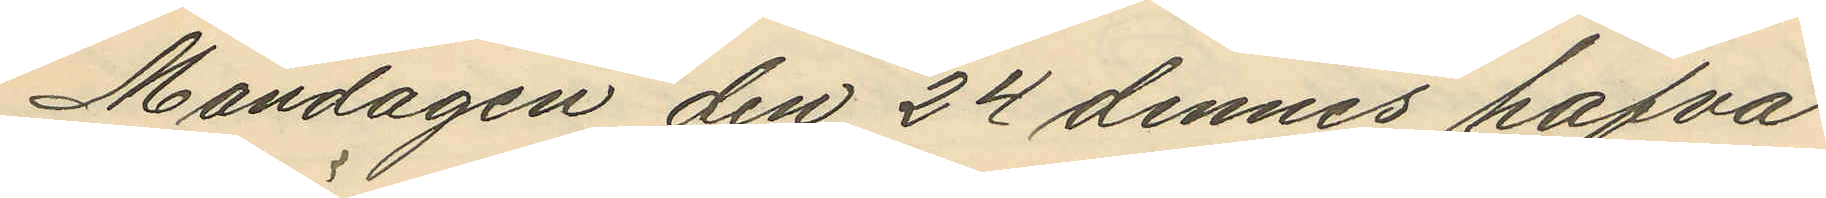Måndagen den 24 dennes hafva
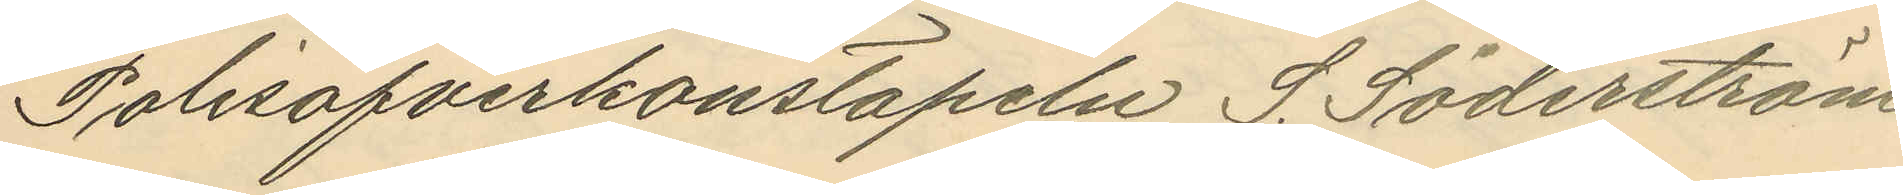Polisöfverkonstapeln S. Söderström
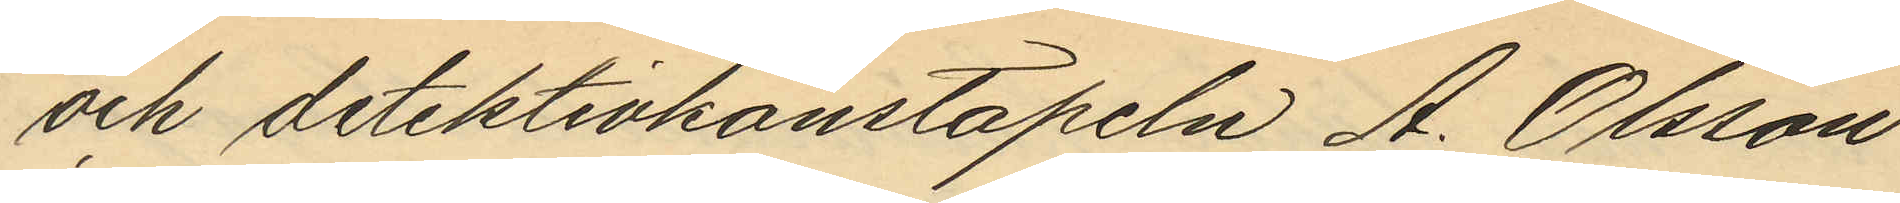och detektivkonstapeln A. Olsson
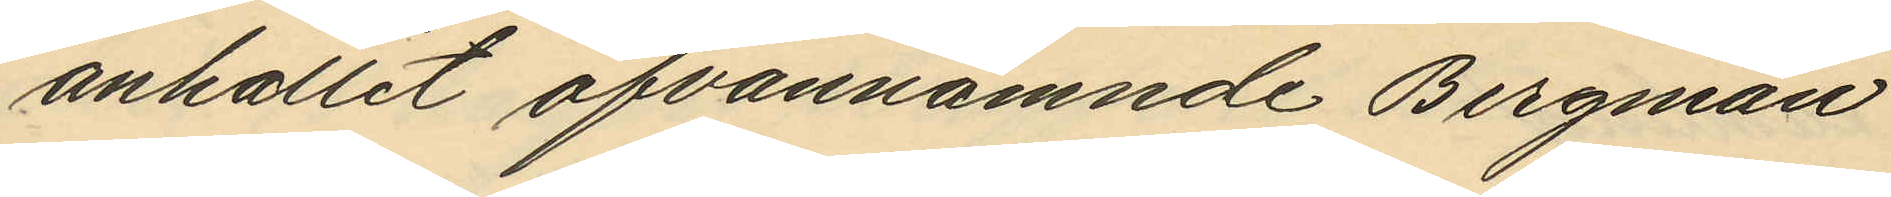anhållit ofvannämnde Bergman
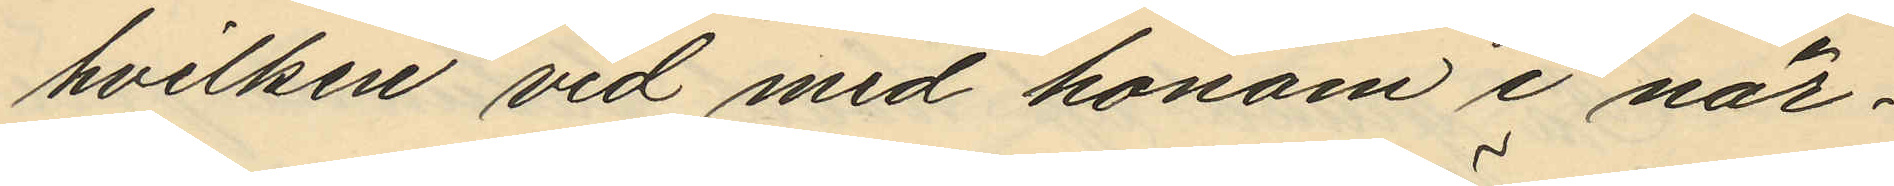hvilken vid med honom i när¬
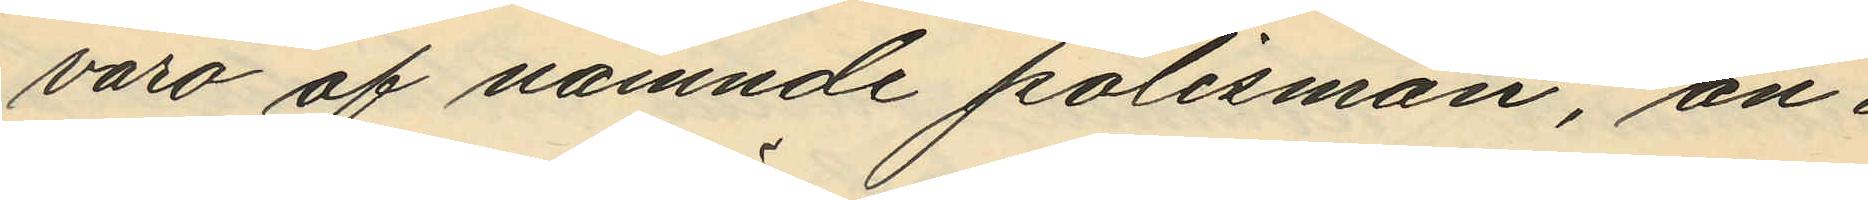varo af nämnde polismän, an¬
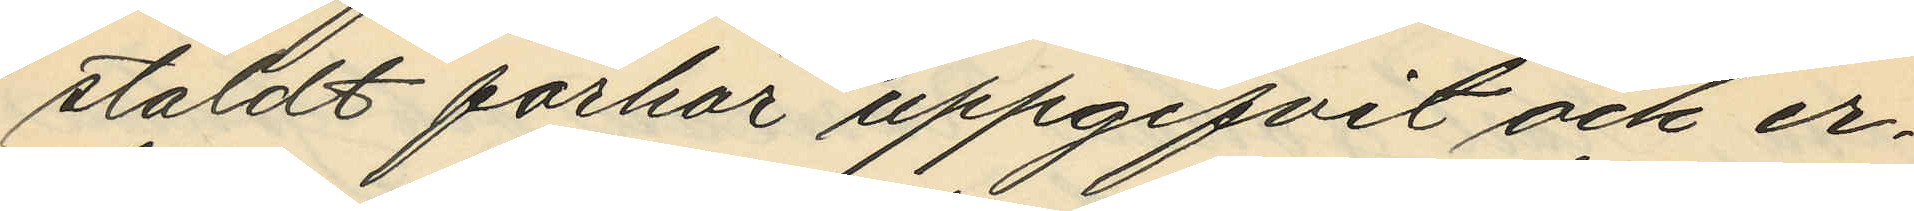stäldt förhör uppgifvit och er¬
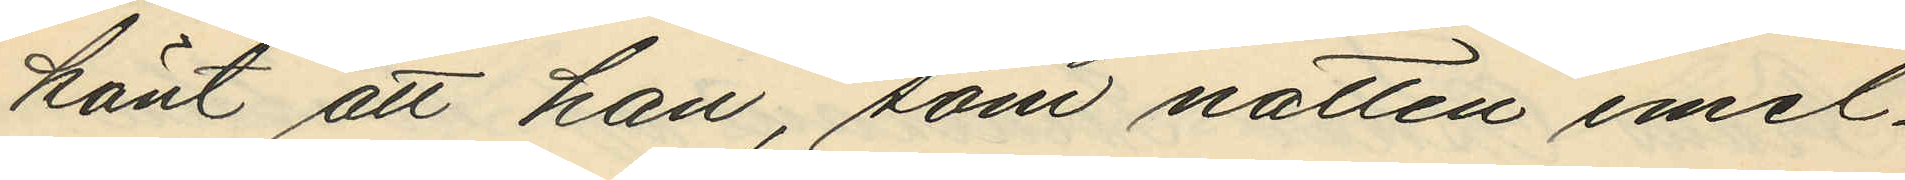känt att han, som natten emel¬
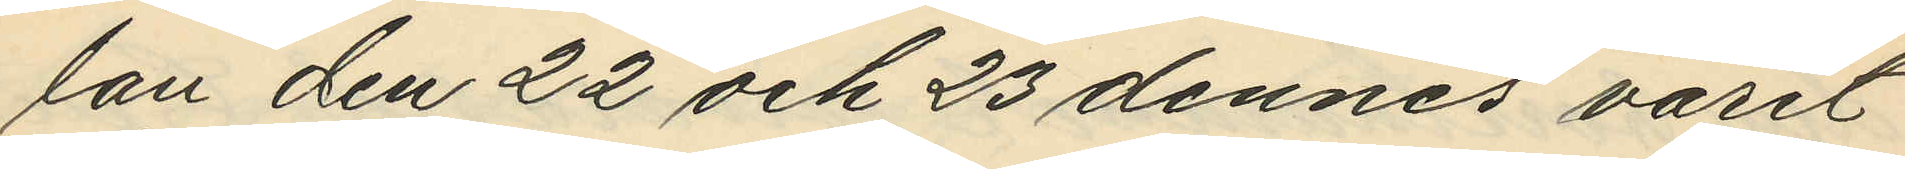lan den 22 och 23 dennes varit
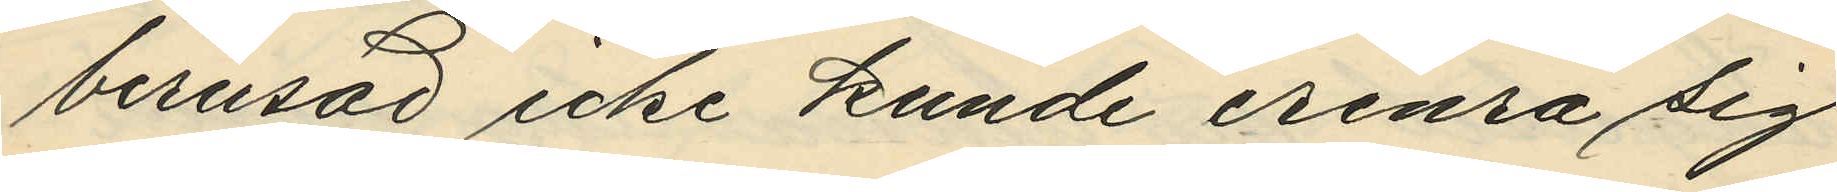berusad icke kunde erinra sig
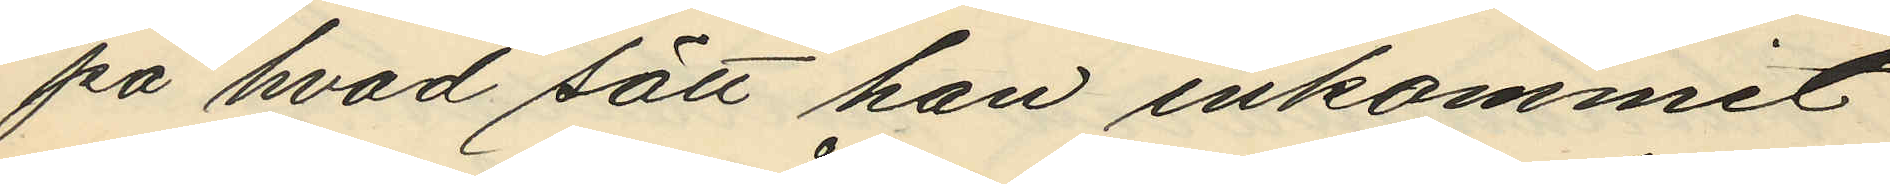på hvad sätt han inkommit
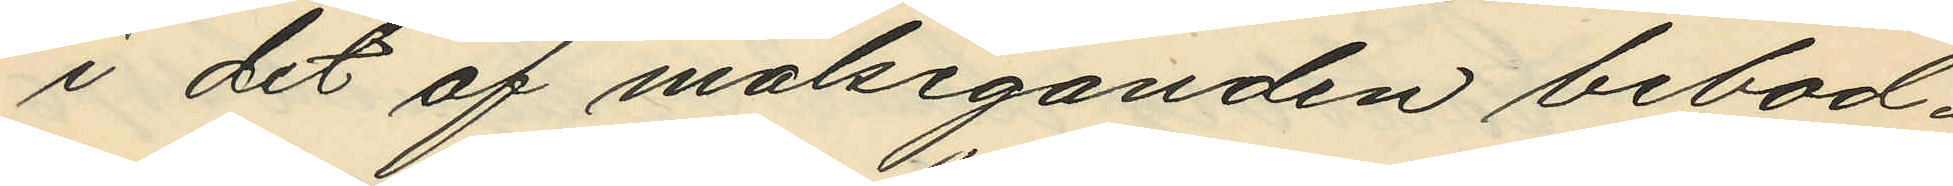i det af målseganden bebod¬
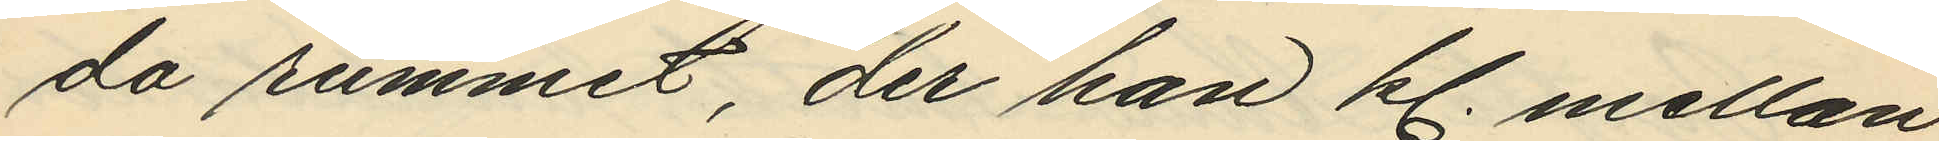da rummet, der han kl. mellan
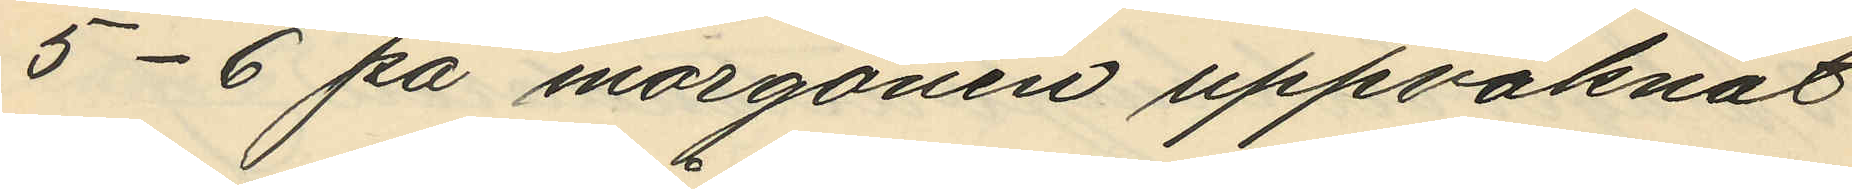5-6 på morgonen uppvaknat
